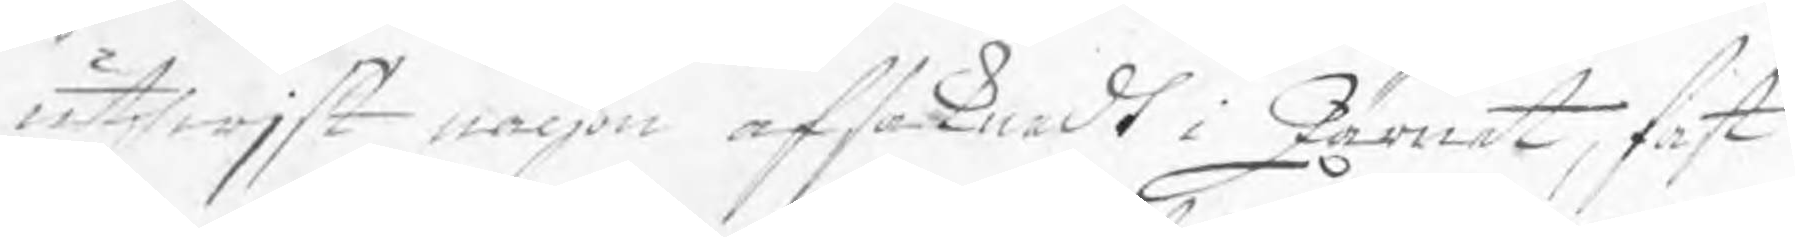uthwjst någon afsaknadt i Järnet, fast
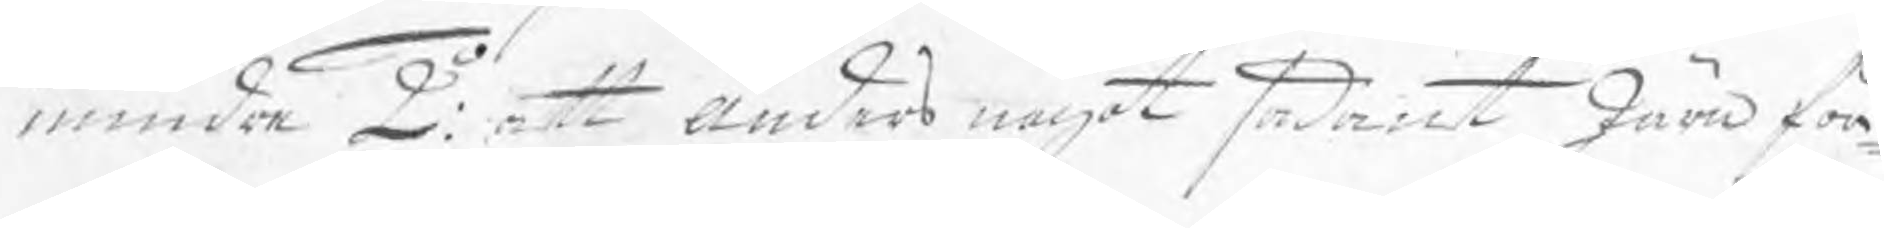mindre 2o: att Anders något sådant Järn för¬
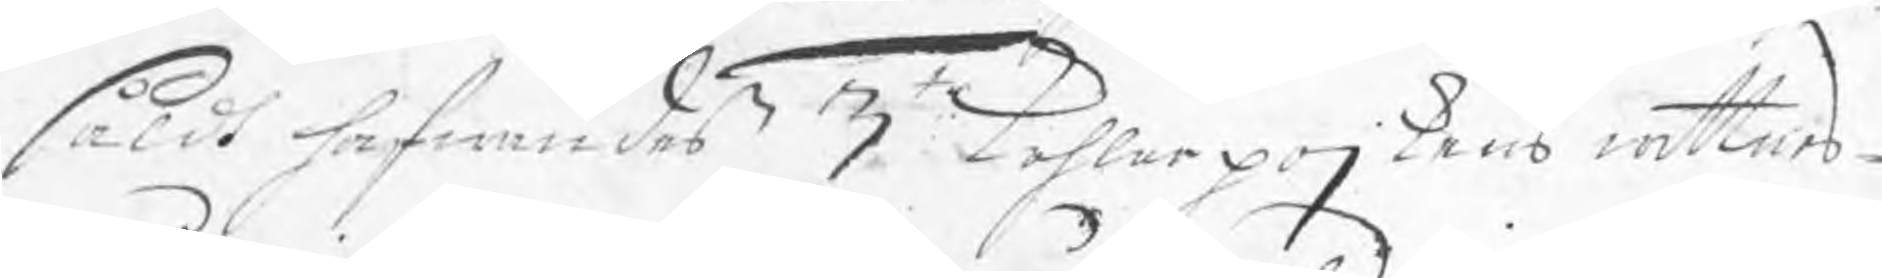såldt hafwandes 3to: kohlarpojkens wittnes¬
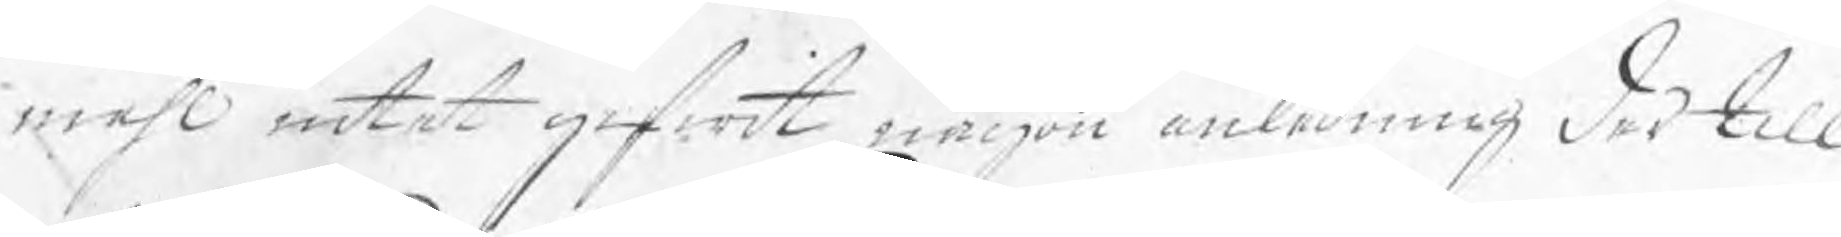måhl intet gifwit någon anledning dertill
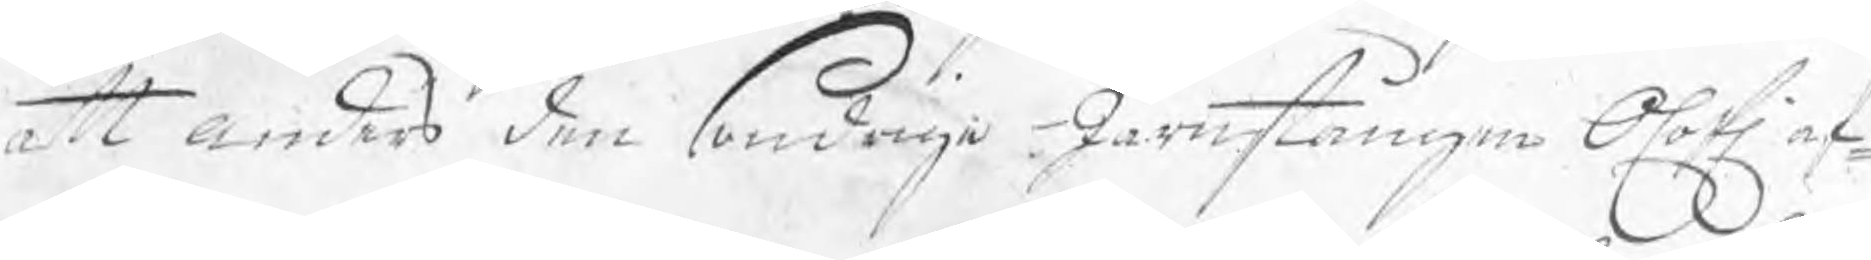att Anders den sondrige Järnstången Olofl af¬
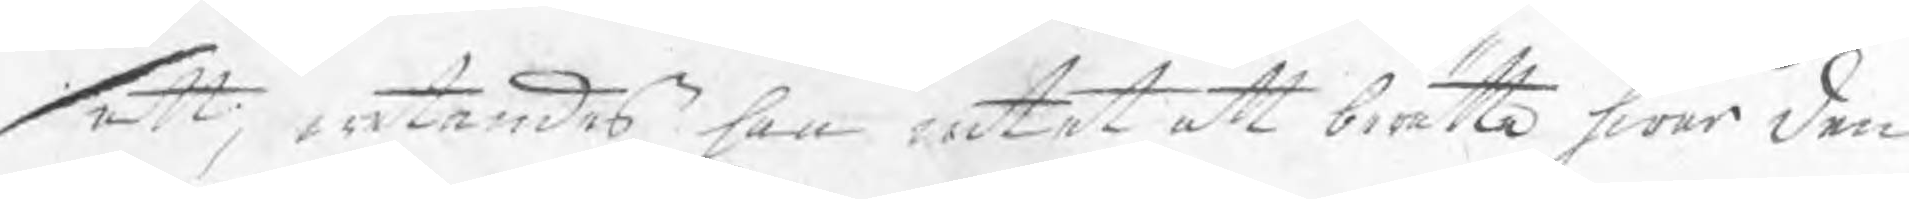satt; wetandes han intet att berätta hwar den
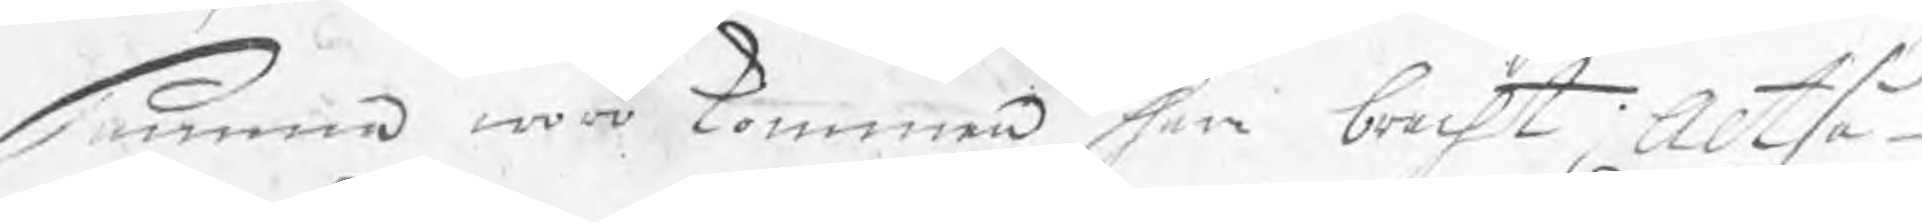samma woro kommen han brecht; Altså
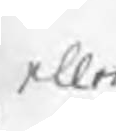eller
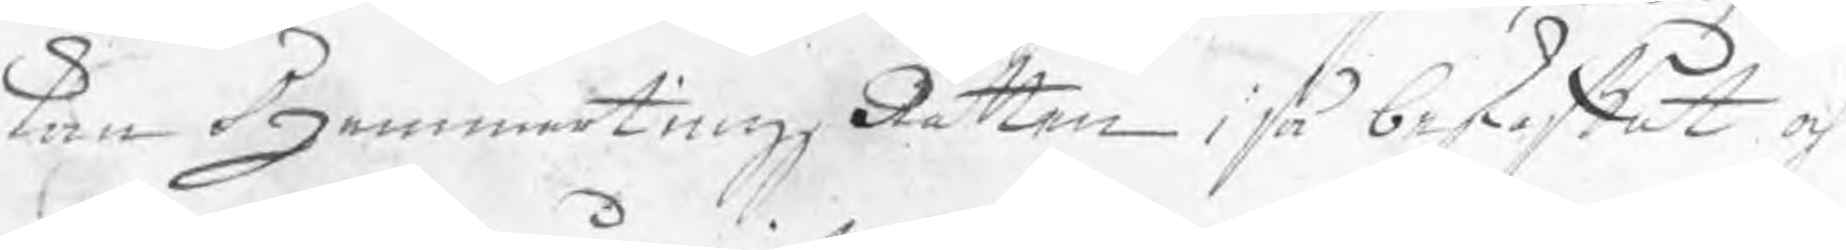kan HammartingzRätten i så beskaffat och
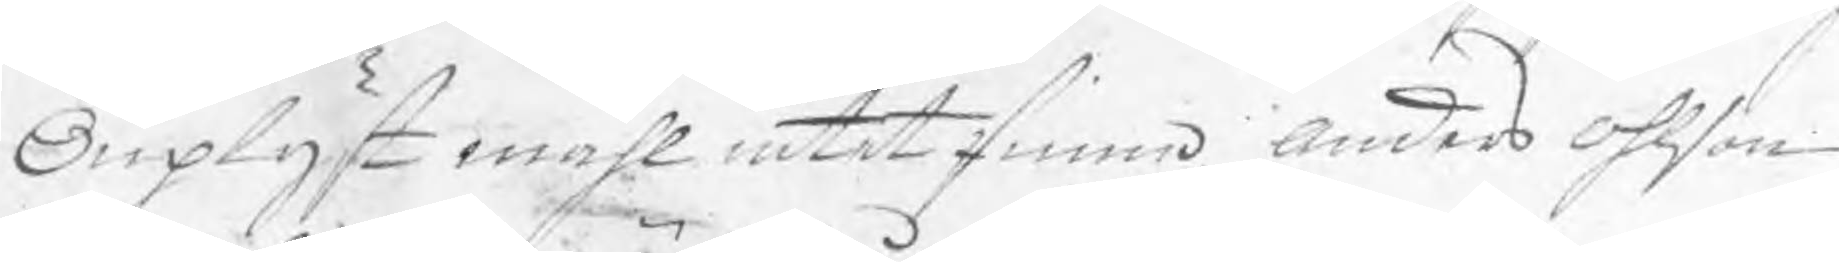Ouplyst måhl intet finna Anders Ohlson
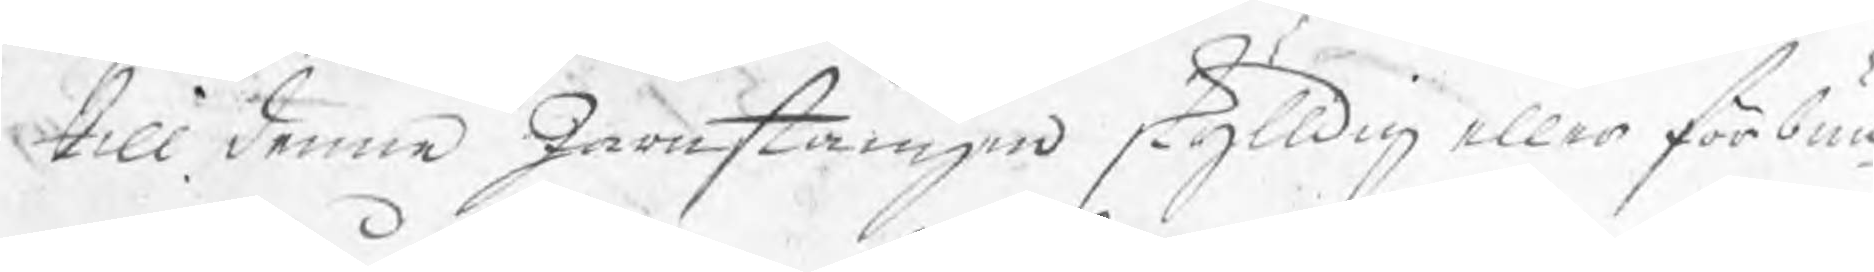till denna Järnstången skylldig eller förbun¬
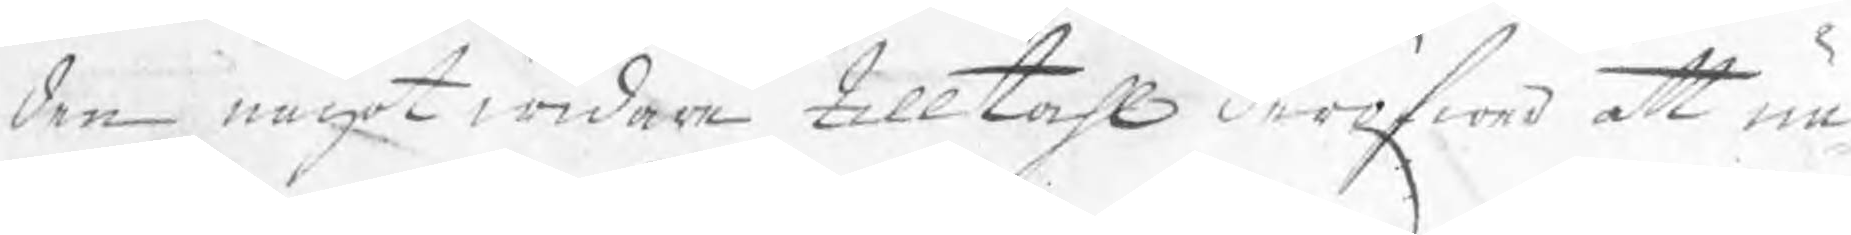den något widare tilltahl deröfwer att un¬
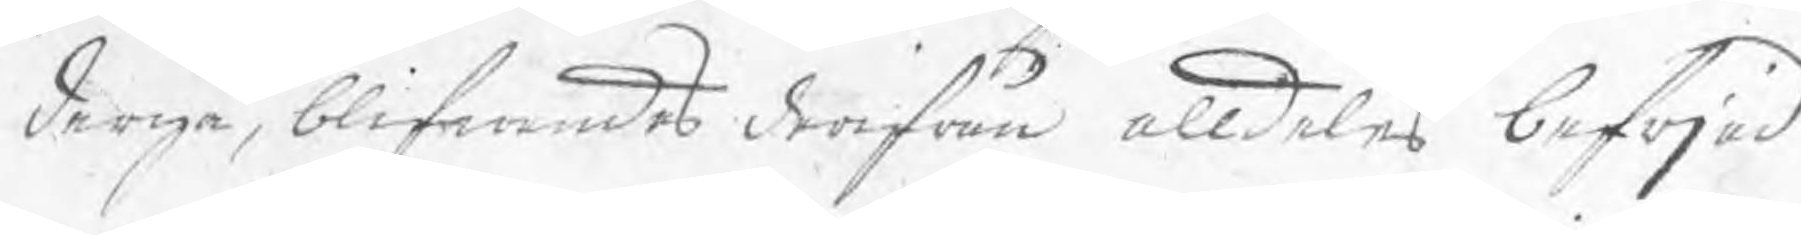dergå, blifwandes derifrån alldeles befrjad
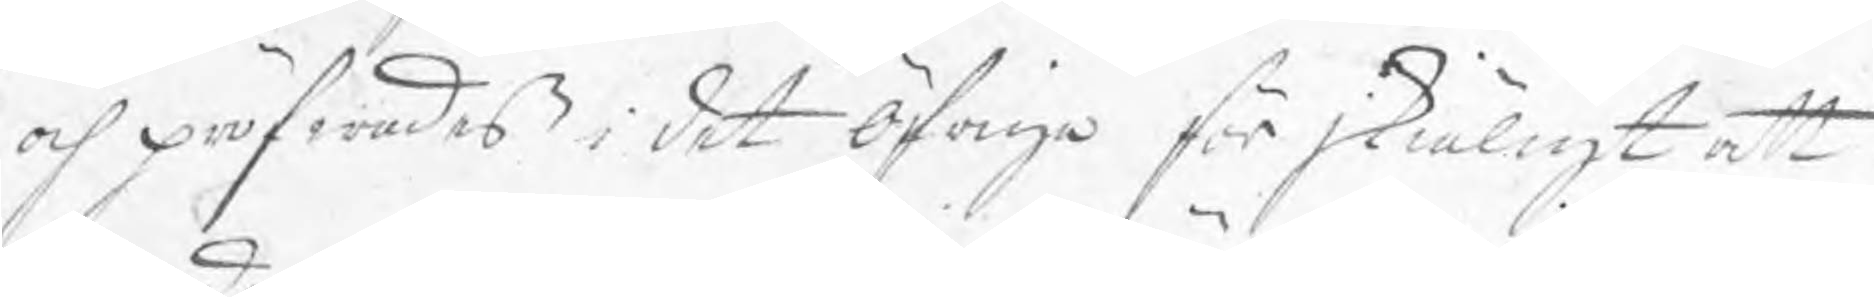och pröfwandes i det öfriga för skiäligt att
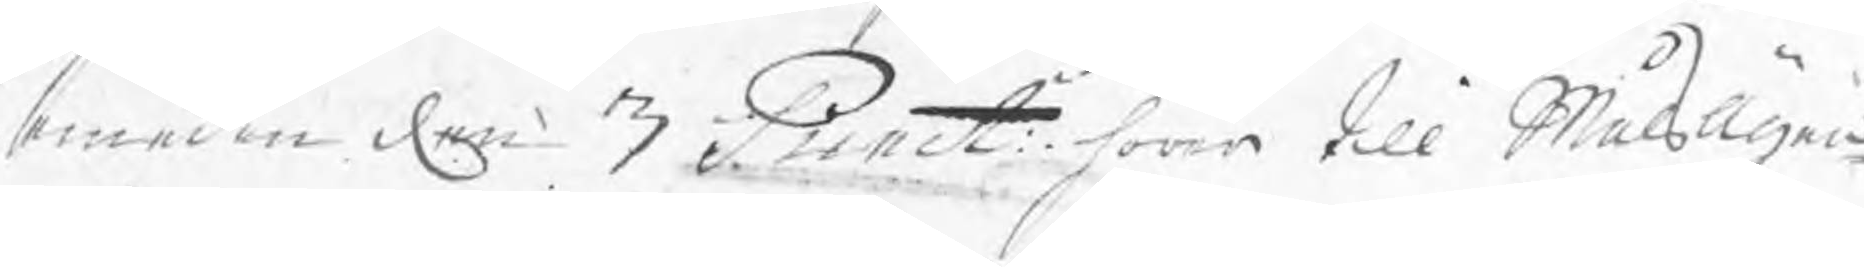emedan den 3 Punct: hörer till Målsägan¬
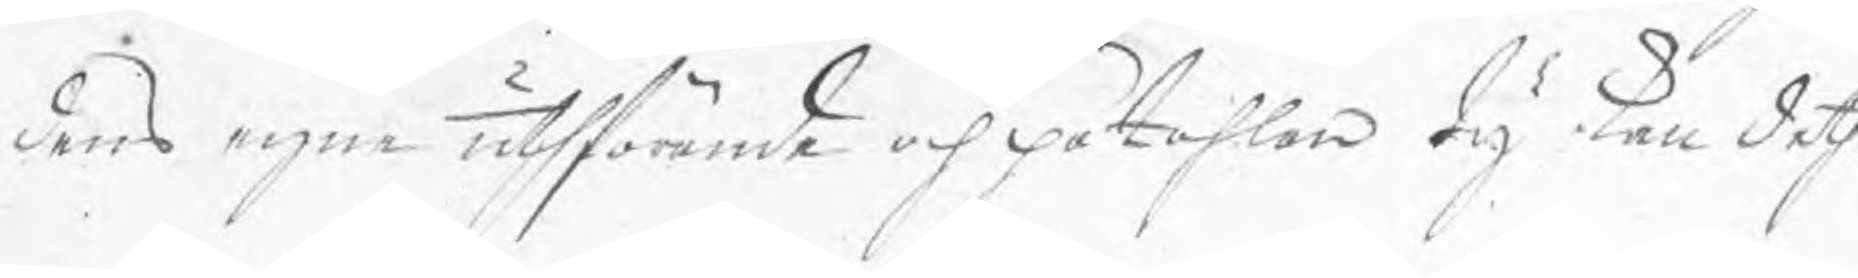dens egne uthförande och påtahlan dy kan deth
